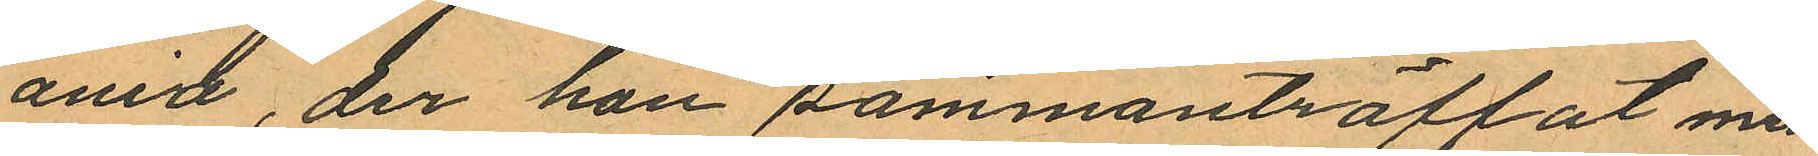ania, der han sammanträffat med
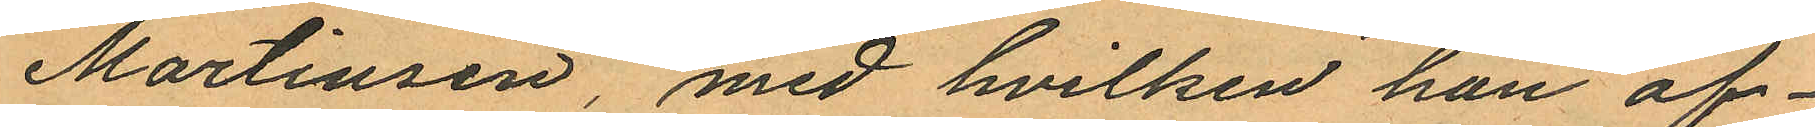Martinsen, med hvilken han öf¬
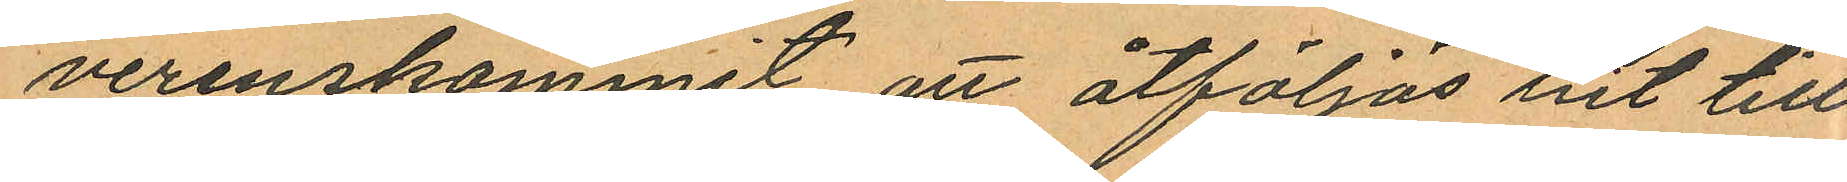verenskommit att åtföljas hit till
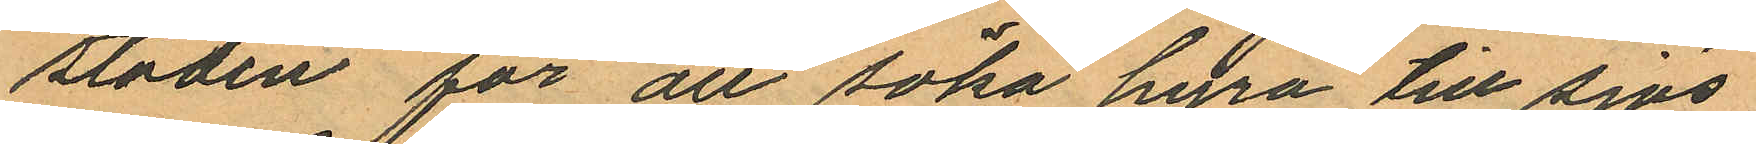staden för att söka hyra till sjös;
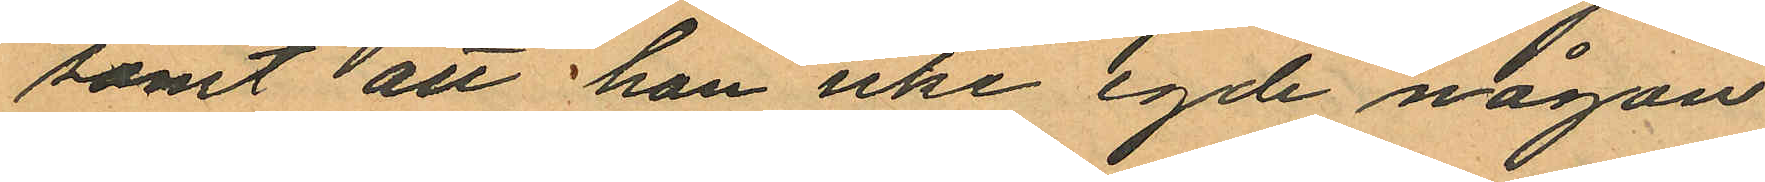samt att han icke egde någon
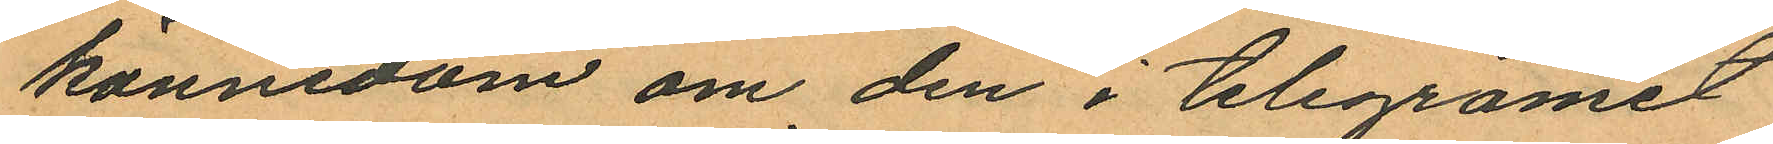kännedom om den i telegramet
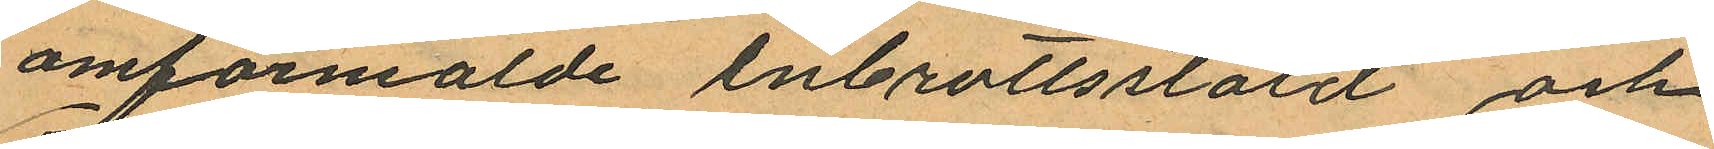omformalde inbrottsstöld och
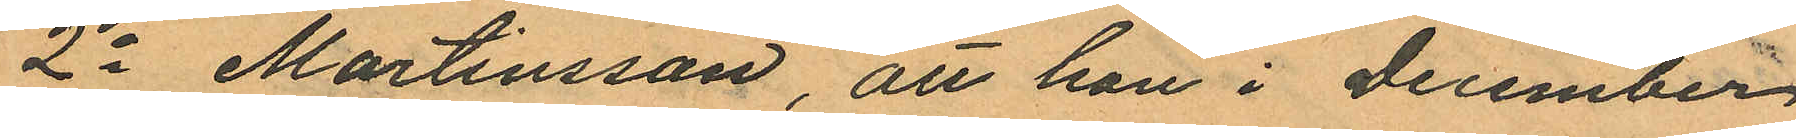2o Martinsson, att han i December
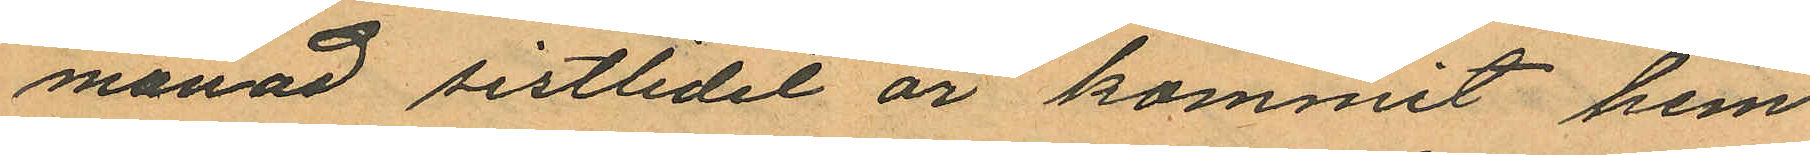månad sistlidet år kommit hem
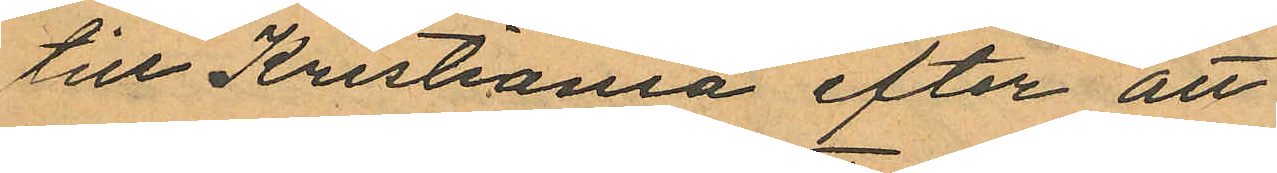till Kristiania efter att
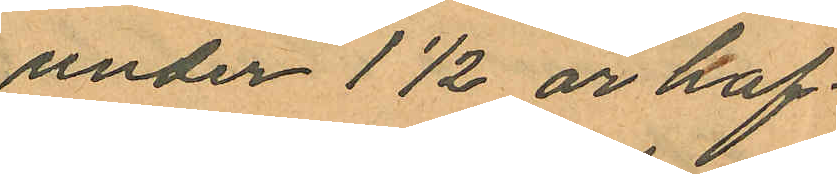under 1½ år haf¬
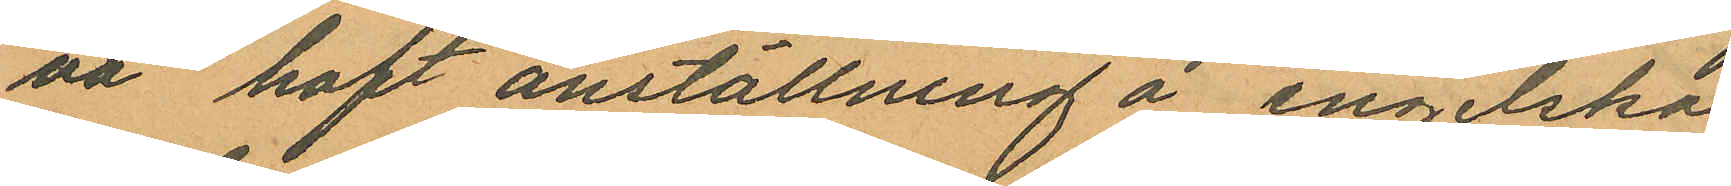va haft anställning å engelska
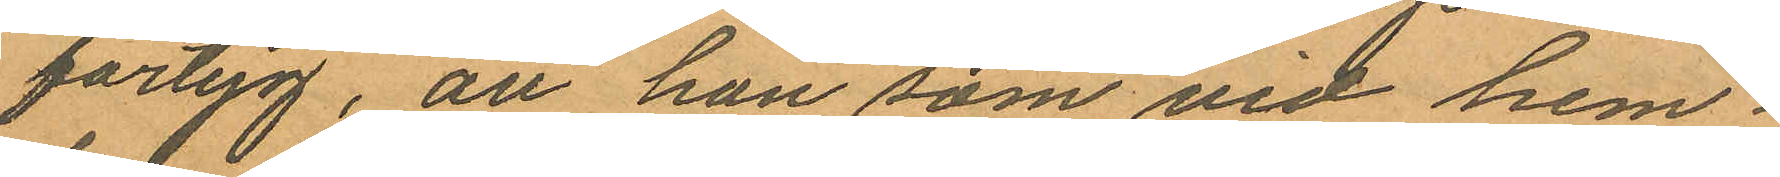fartyg, att han som vid hem¬
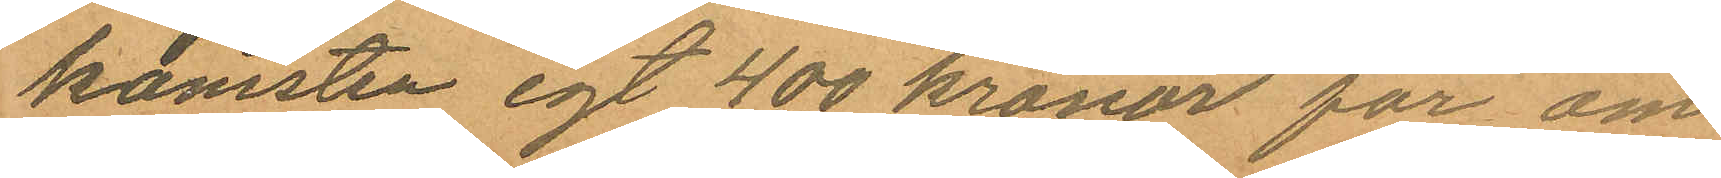komsten egt 400 kronor for om¬
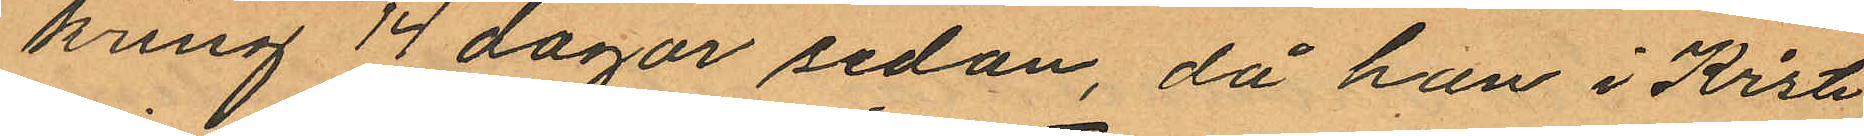kring 14 dagar sedan, då han i Kristi
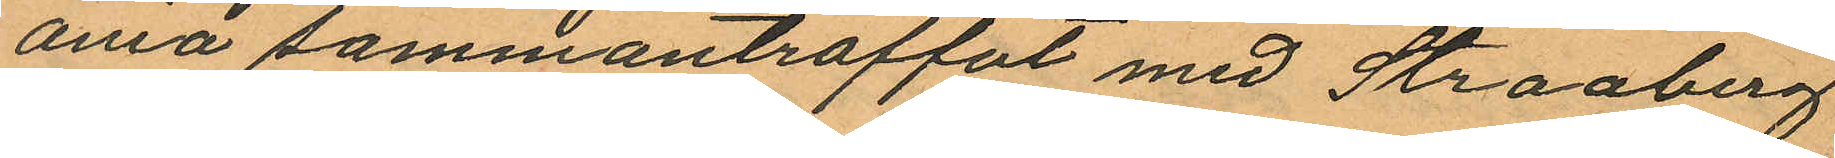ana sammanträffat med Straaberg
